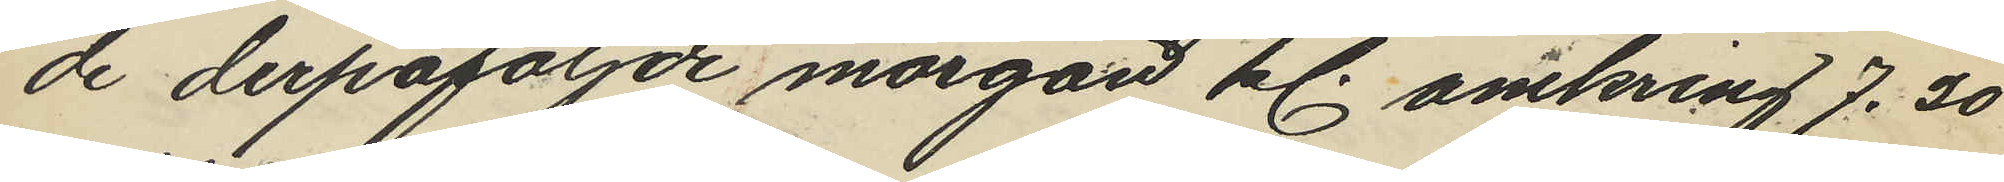de derpåföljde morgon kl. omkring 7.20
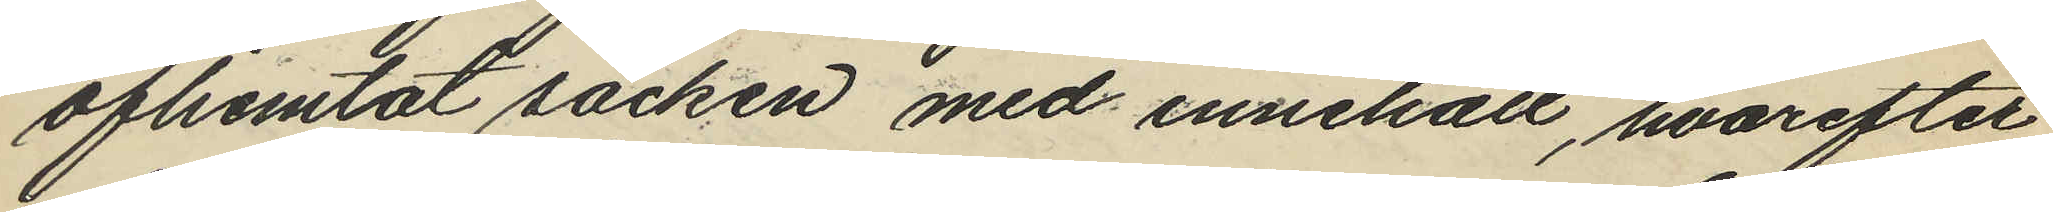afhemtat säcken med innehåll, hvarefter
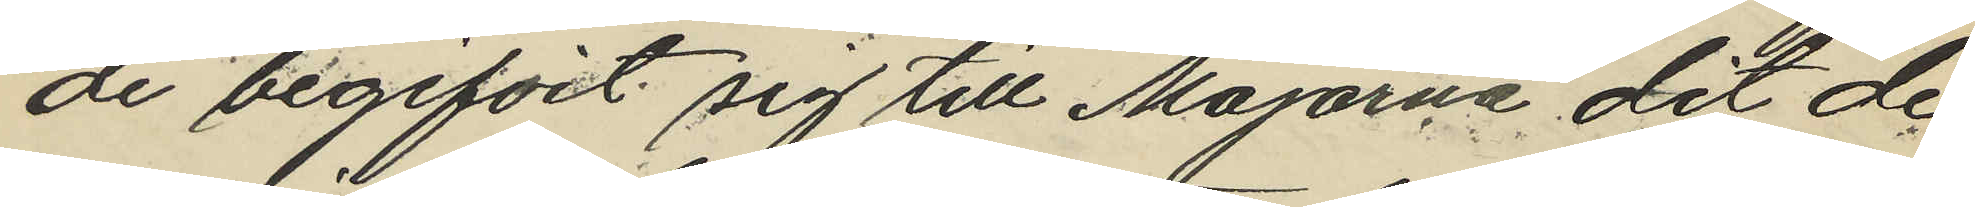de begifvit sig till Majorna dit de
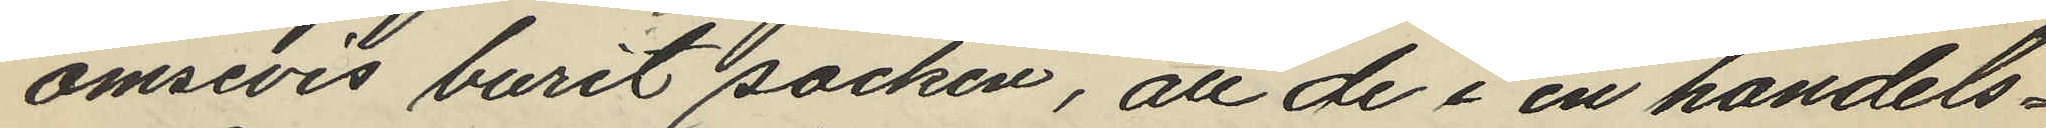omsevis burit säcken, att de i en handels¬
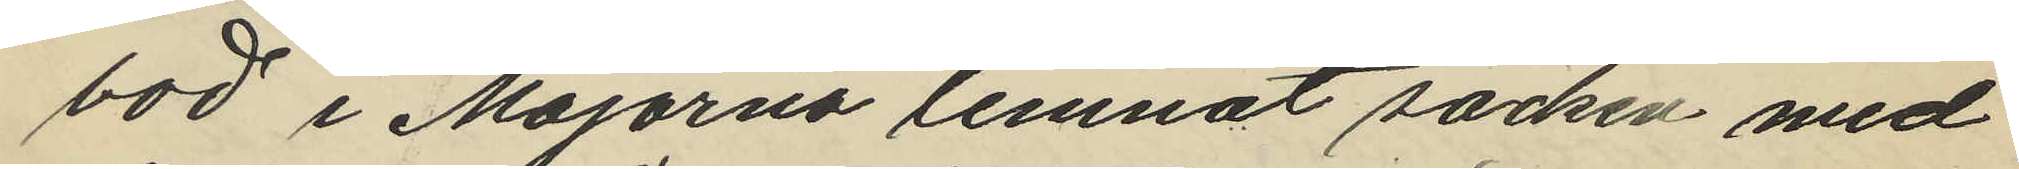bod i Majorna lemnat säcken med
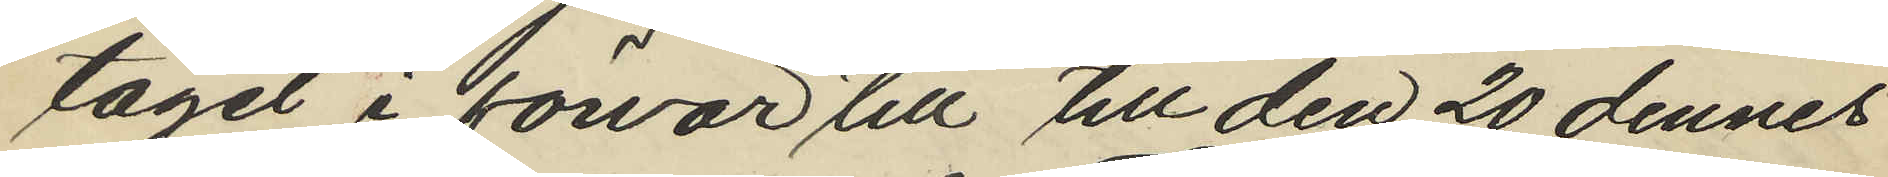tagel i förvar till till den 20 dennes
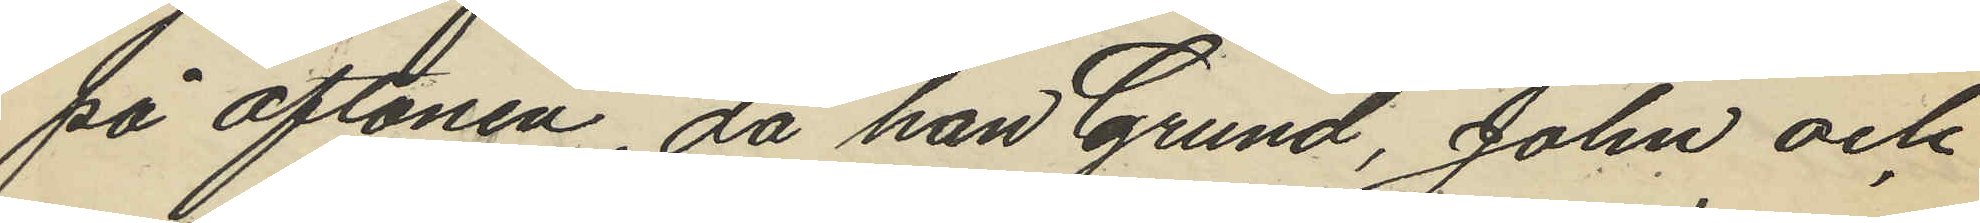på aftonen, då han Grund, John och
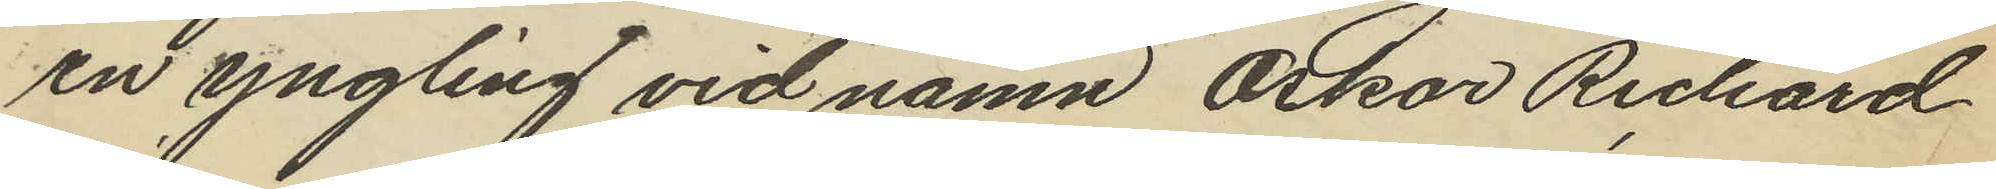en yngling vid namn Oskar Richard
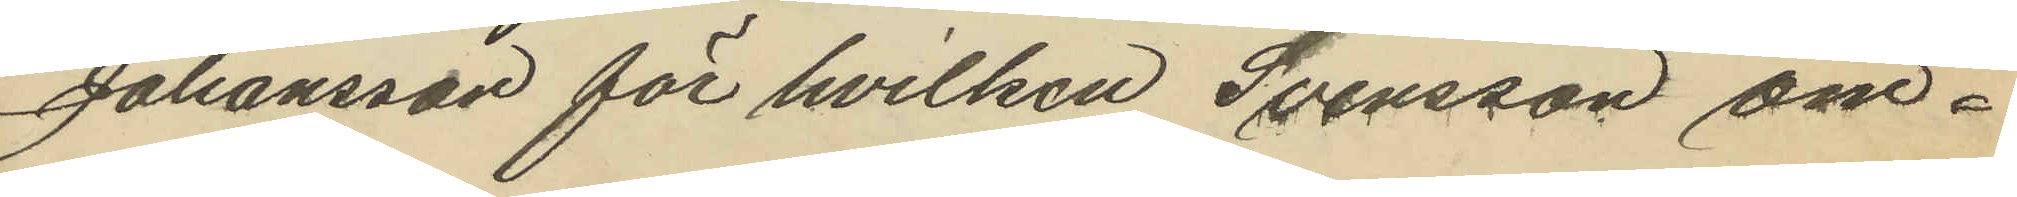Johansson för hvilken Svensson om¬
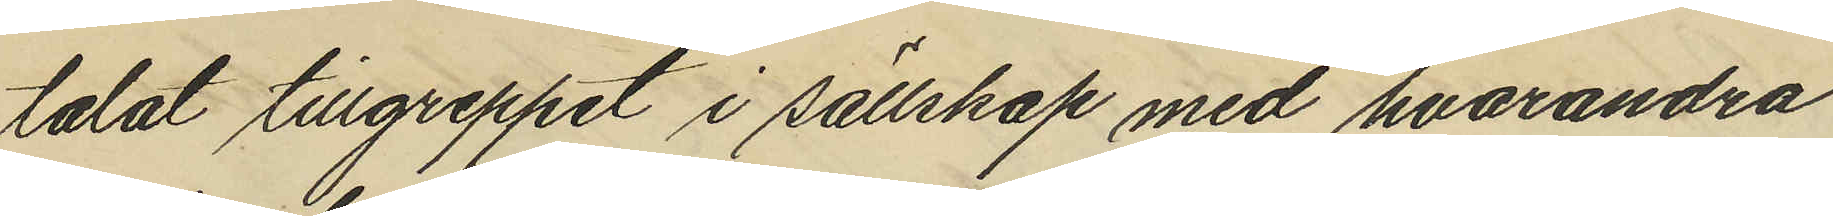talat tillgreppet i sällskap med hvarandra
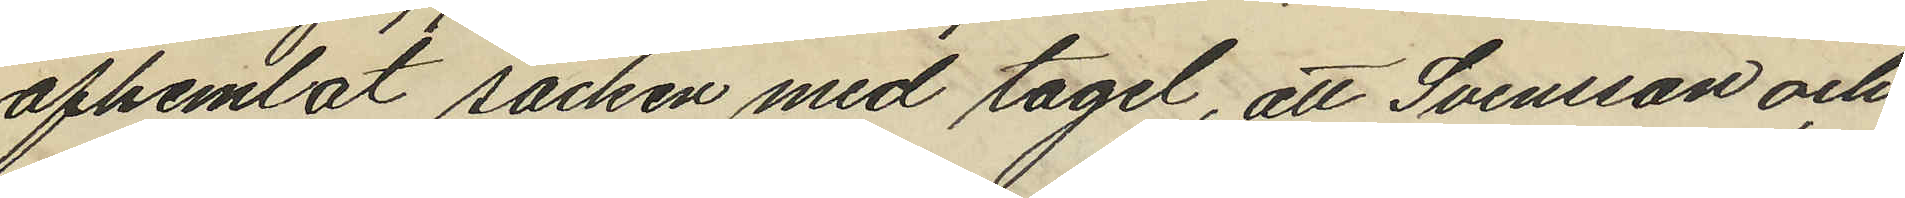afhemlat säcken med tagel, att Svensson och
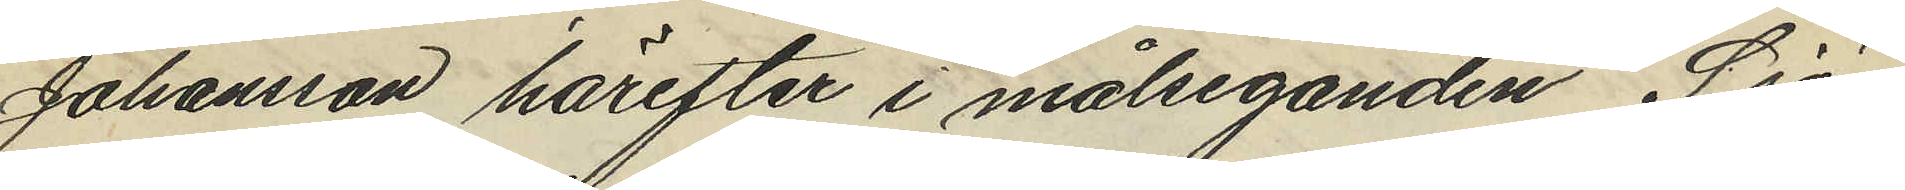Johansson härefter i målseganden Sjö¬
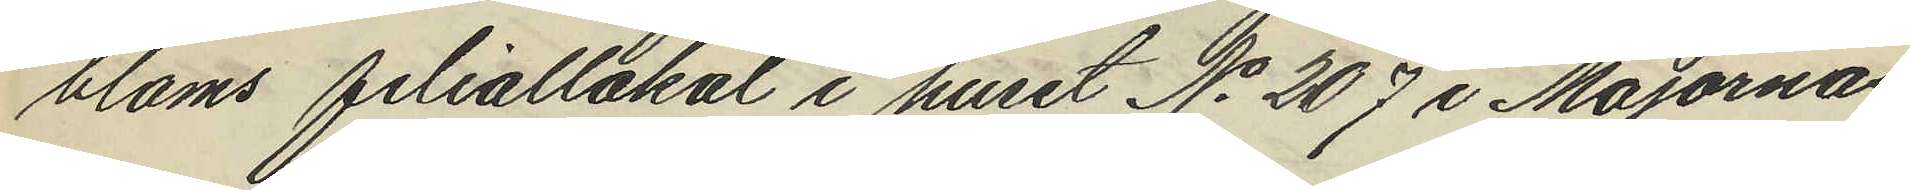bloms filiallokal i huset No 207 i Majornas
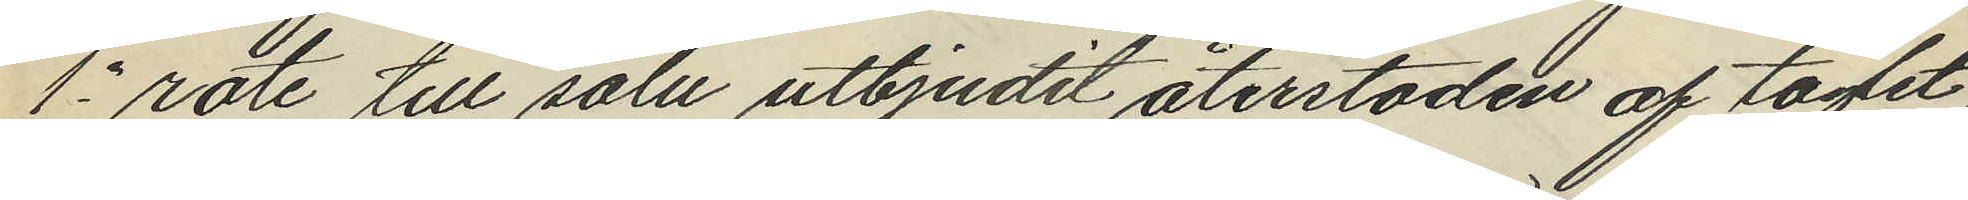1e rote till salu utbjudit återstoden af taglet
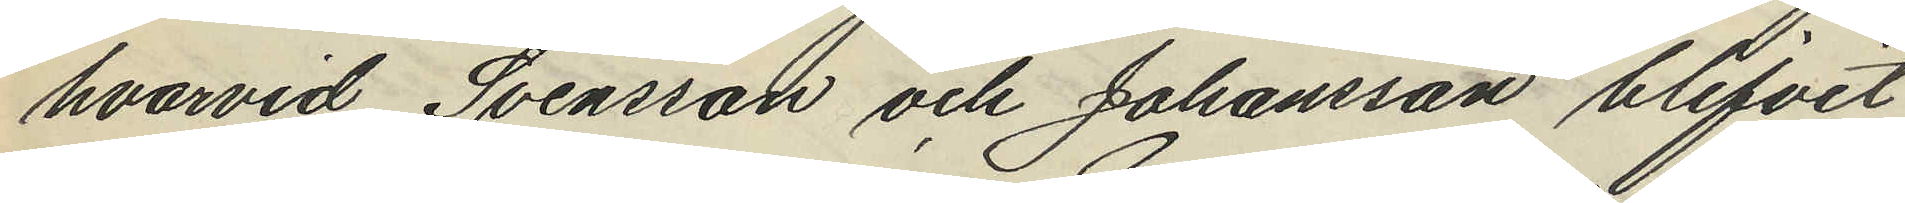hvarvid Svensson och Johansson blifvit
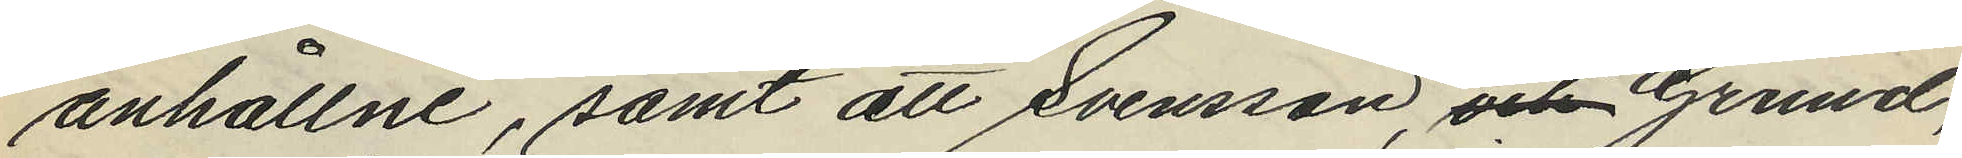anhållne, samt att Svensson, och Grund,
